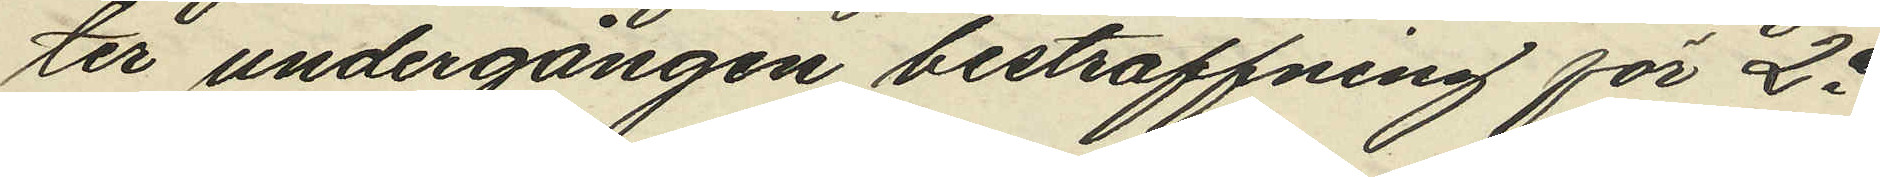ter undergången bestraffning för 2a
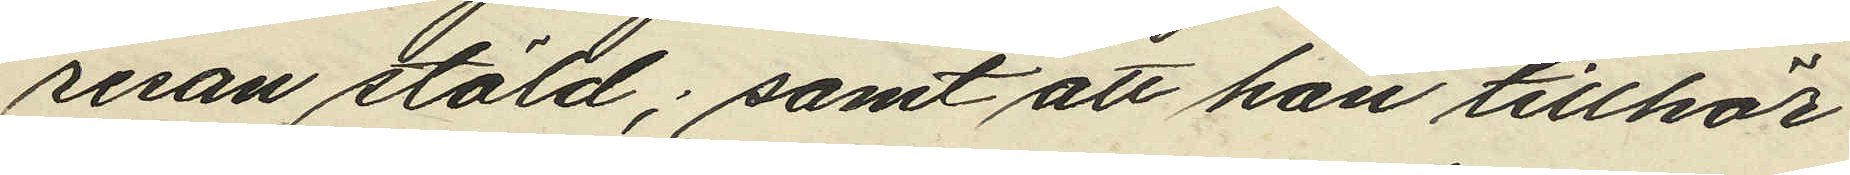resan stöld; samt att han tillhör
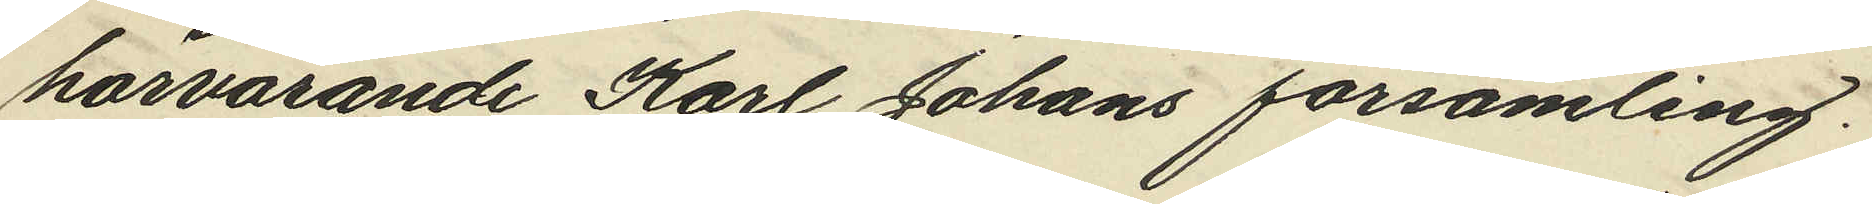härvarande Karl Johans församling.
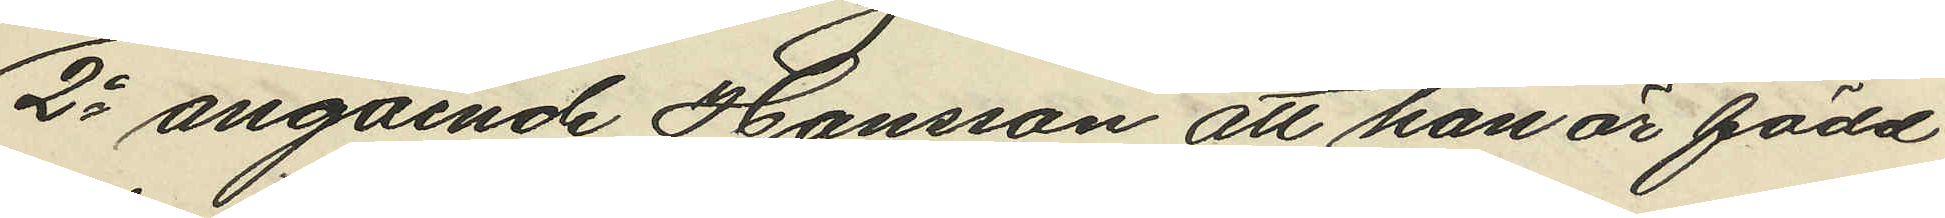2o angående Hansson att han är född
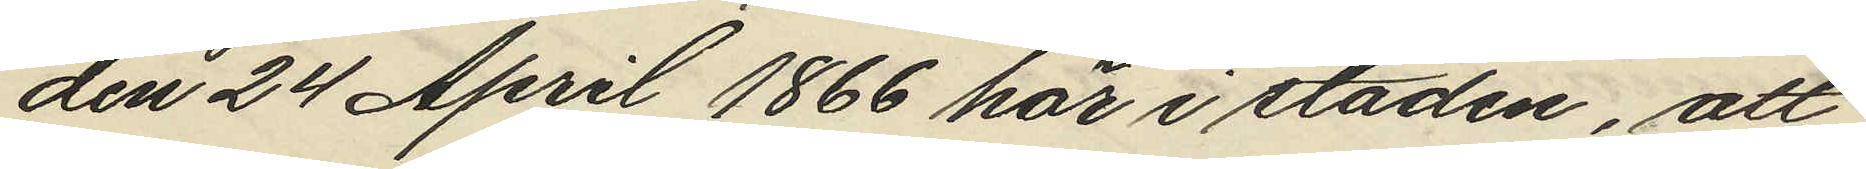den 24 April 1866 här i staden, att
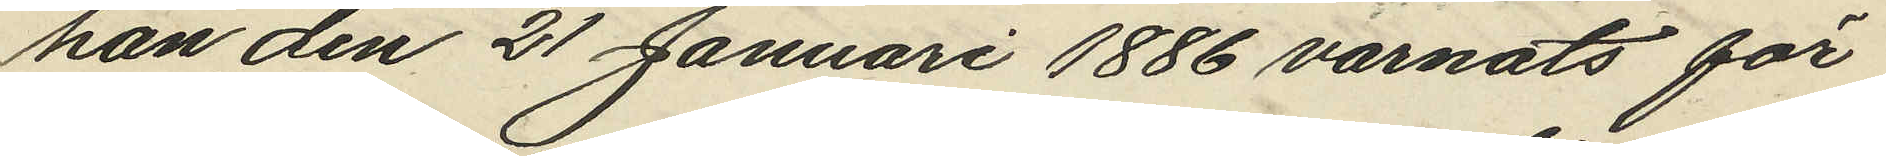han den 21 Januari 1886 varnats för
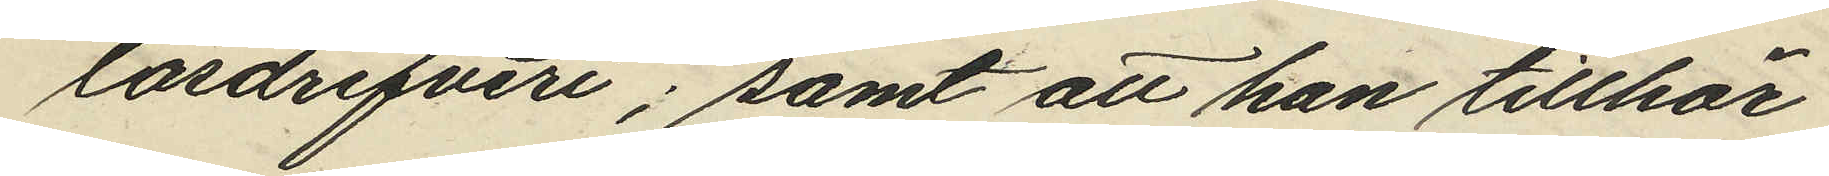lösdrifveri; samt att han tillhör
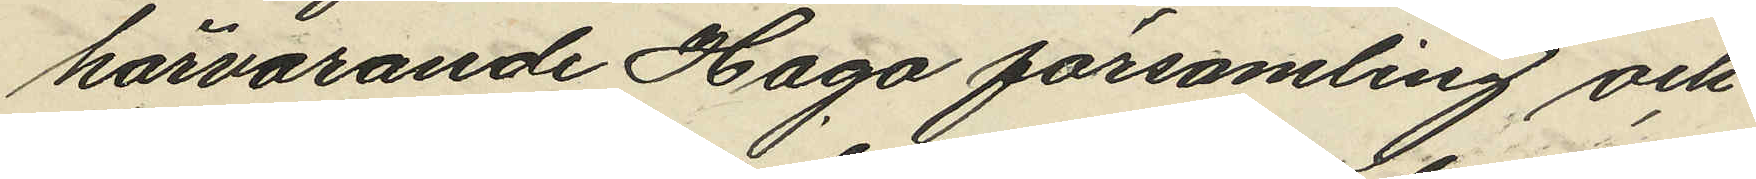härvarande Haga församling och
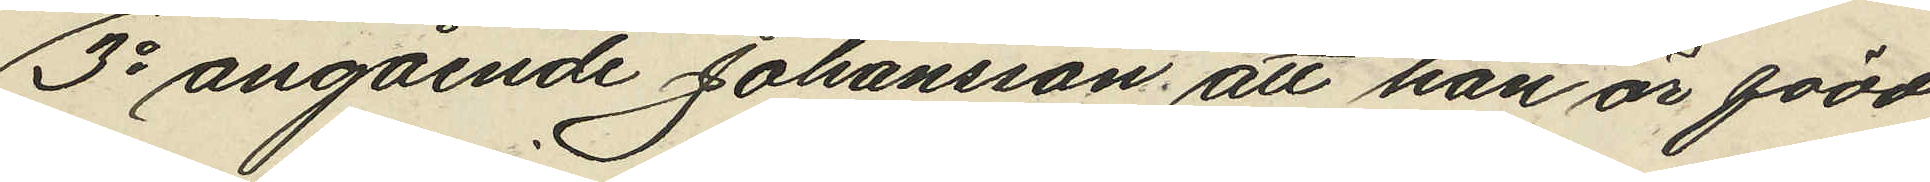3o angående Johansson, att han är född
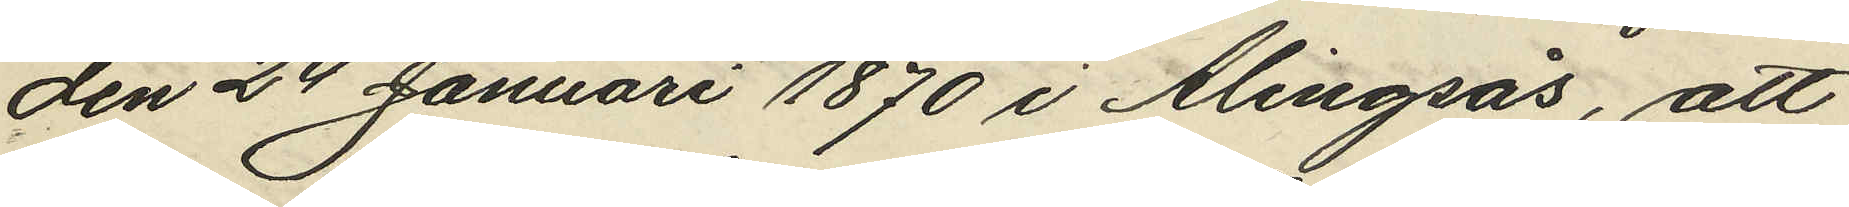den 24 Januari 1870 i Alingsås, att
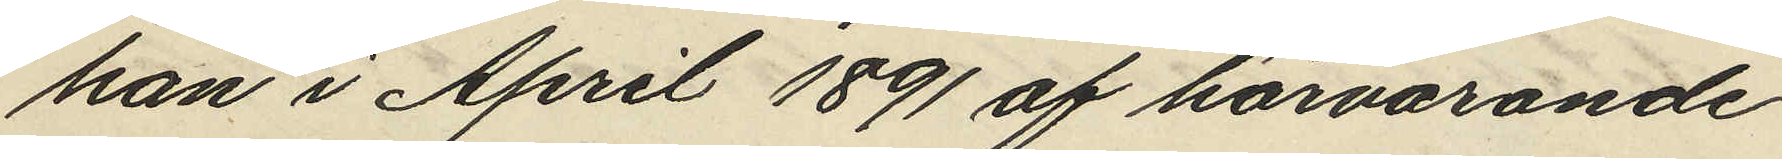han i April 1891 af härvarande
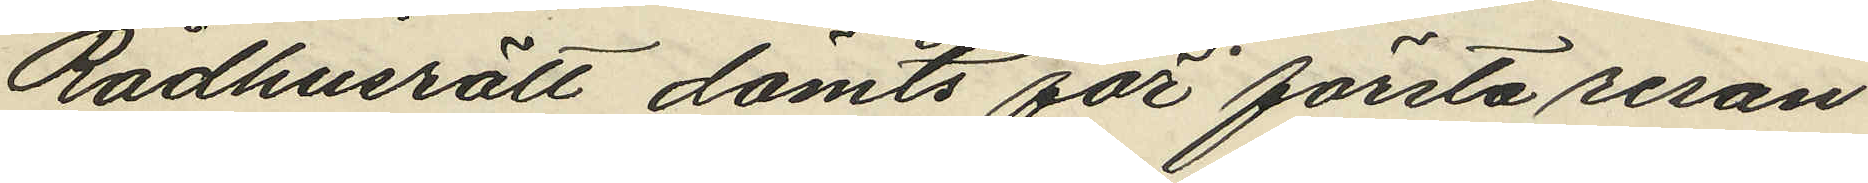Rådhusrätt dömts för första resan
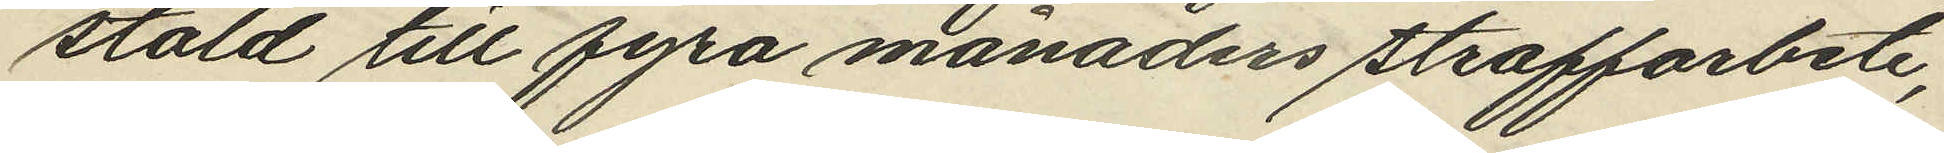stöld till fyra månaders straffarbete,
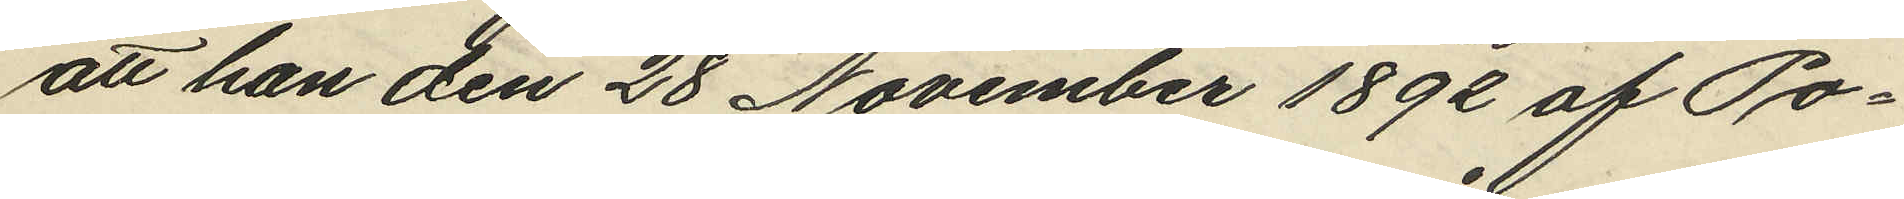att han den 28 November 1892 af Po¬
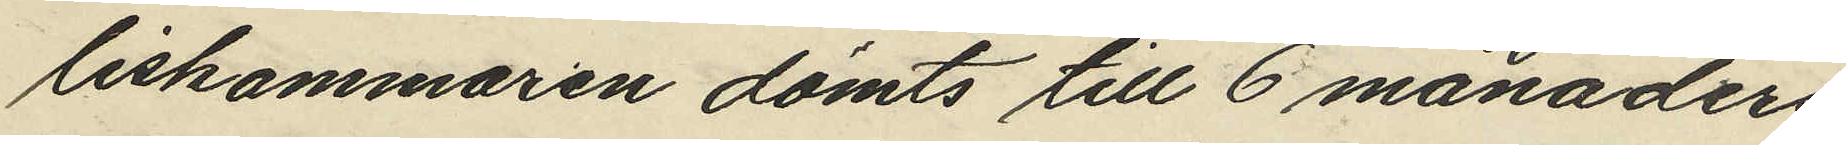liskammaren dömts till 6 månaders
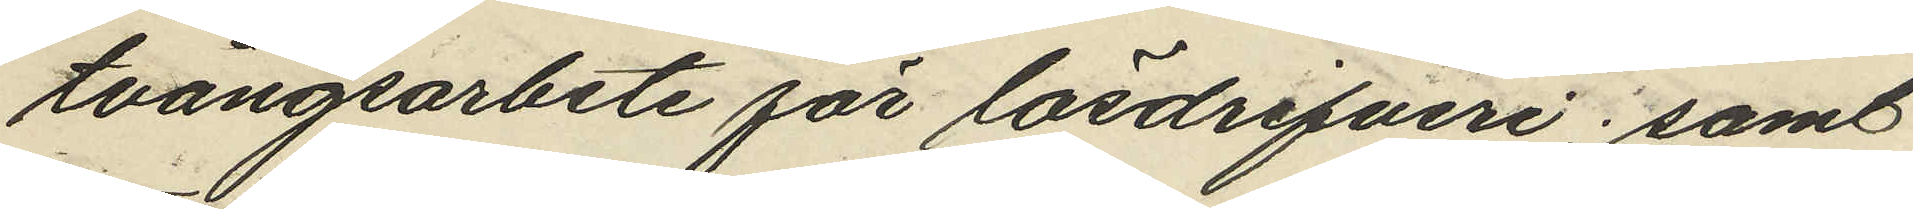tvångsarbete för lösdrifveri; samt
